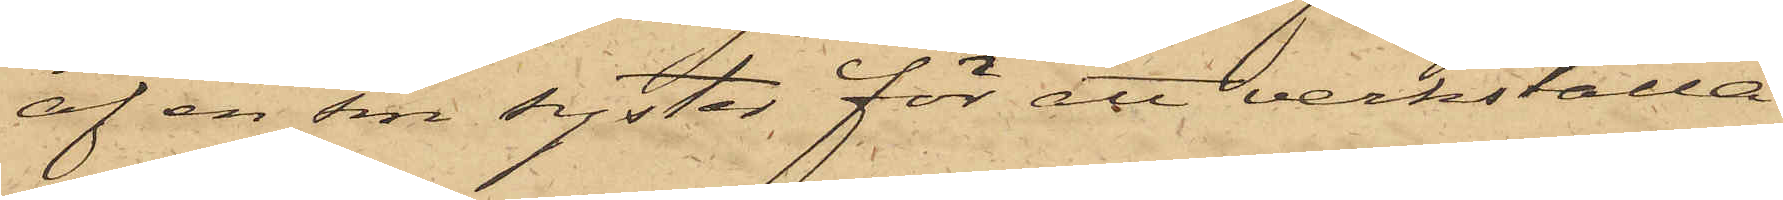af en sin syster för att verkställa
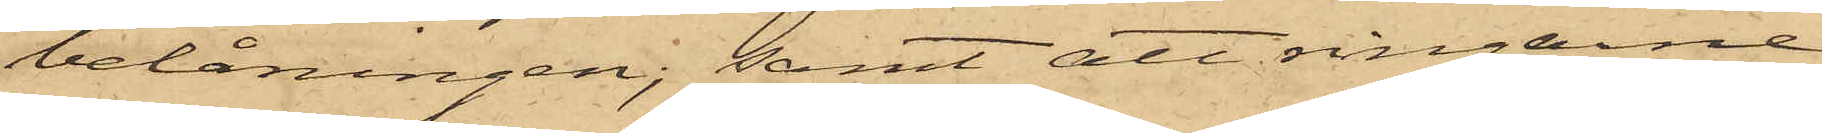belåningen; samt att ringarne
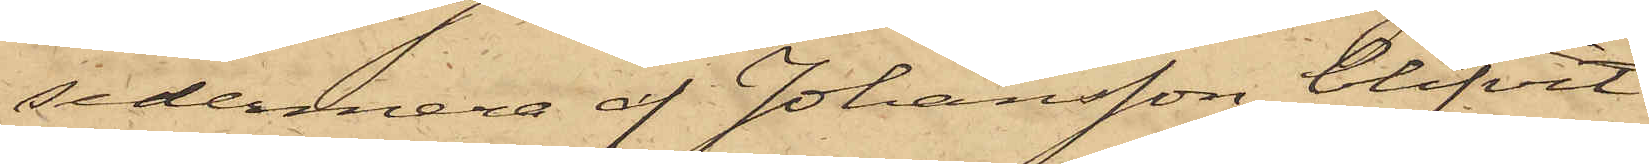sedermera af Johansson blifvit
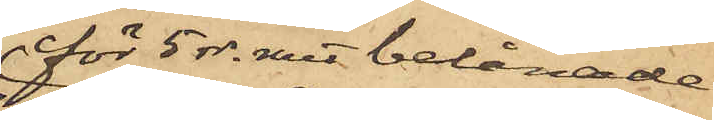för 5 rdr. rmt belånade
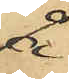å
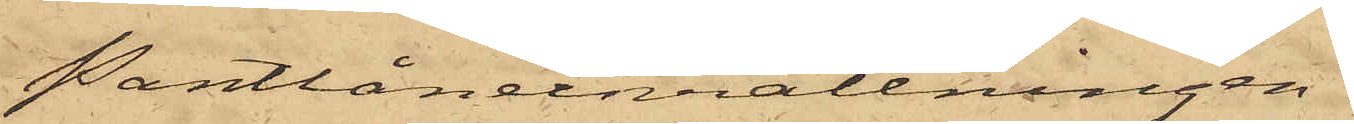Pantlåneinrättningen
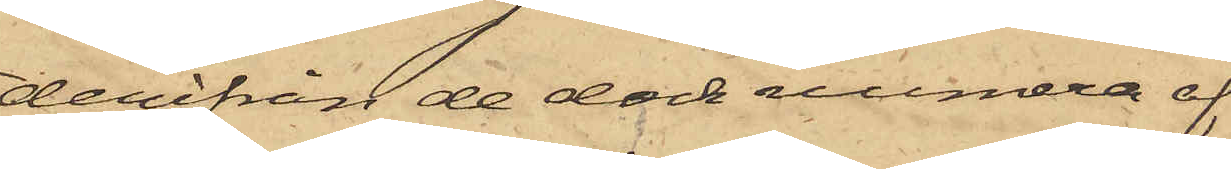derifrån de dock sedermera af
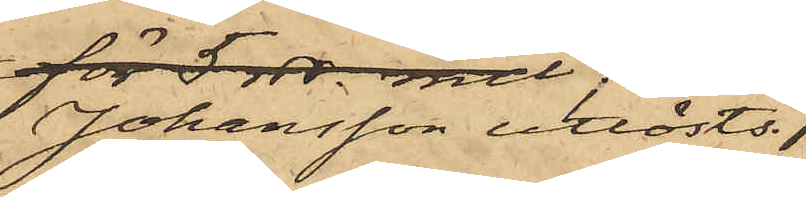Johansson inlösts.
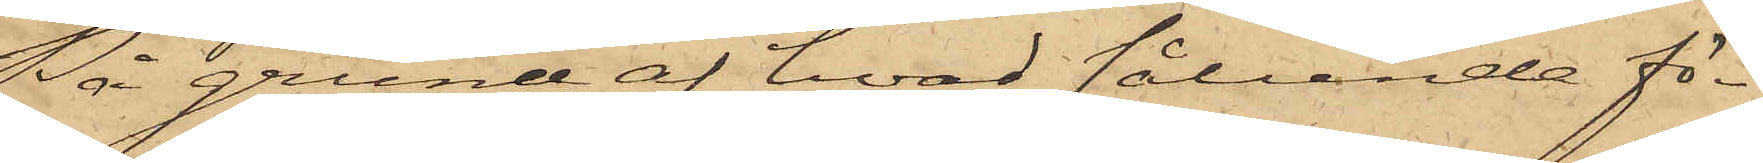På grund af hvad sålunda fö¬
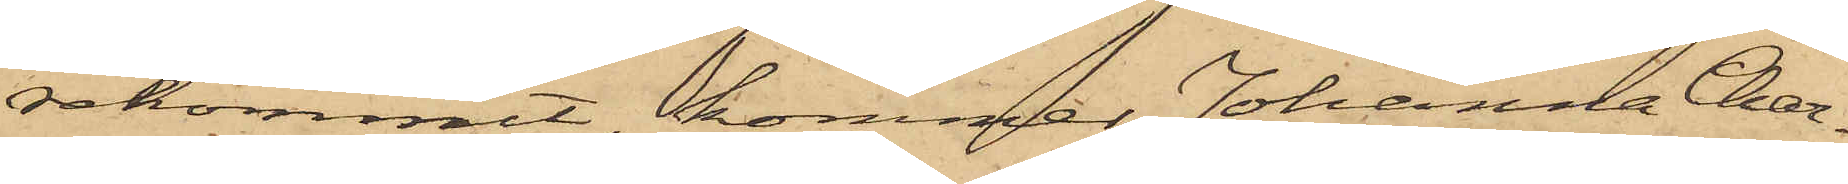rekommit, kommer Johanna Char¬
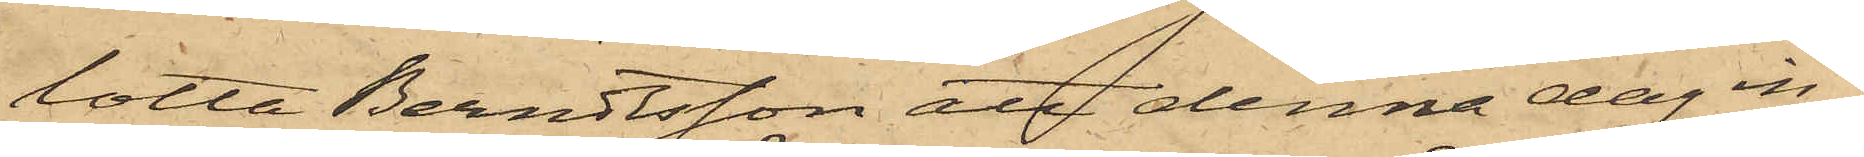lotta Berndtsson att denna dag in¬
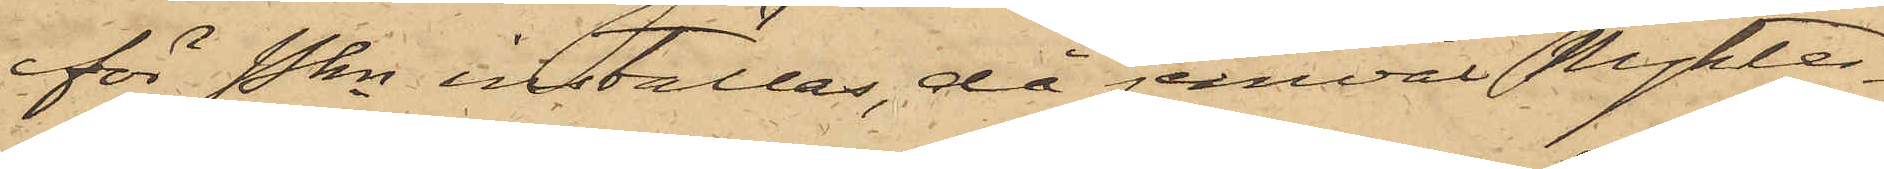för Pkn inställas, då jemväl Nykter¬
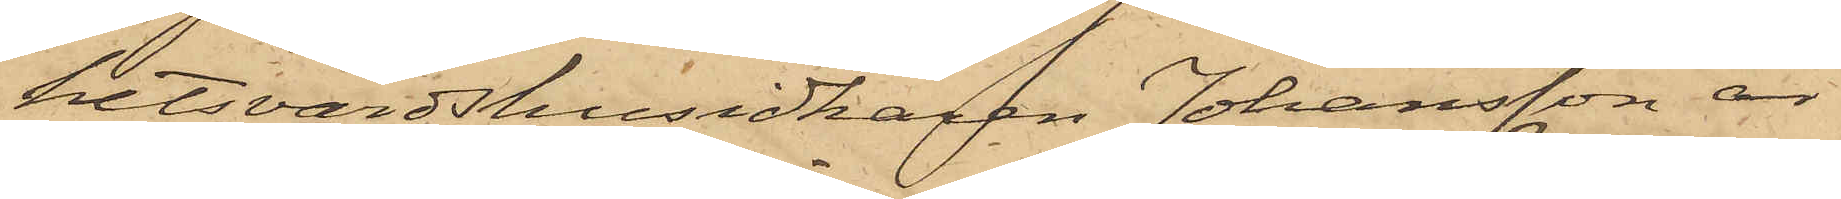hetsvärdshusidkaren Johansson är
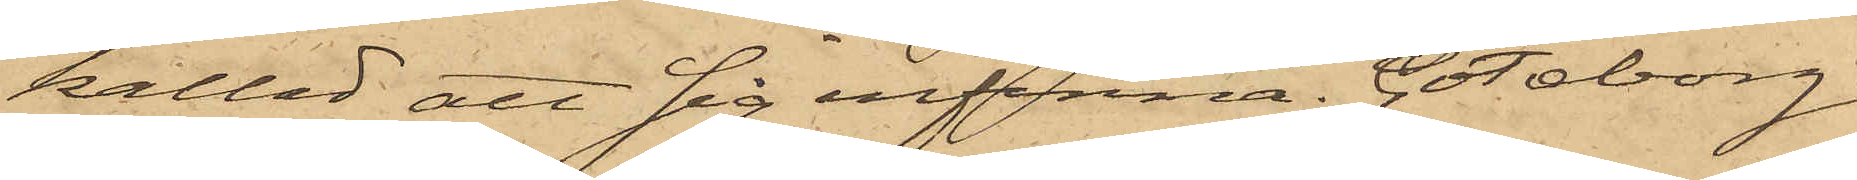kallad att sig infinna. Göteborg
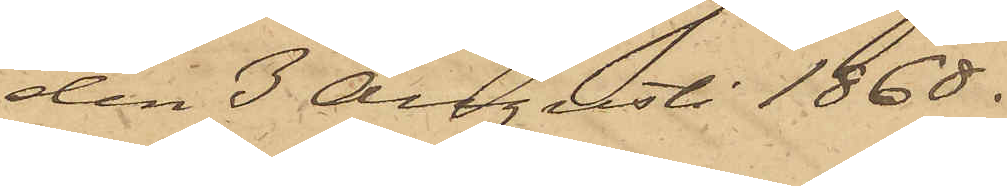den 3 Augusti 1868.
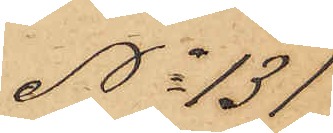No 131
